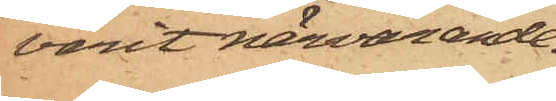varit närvarande.
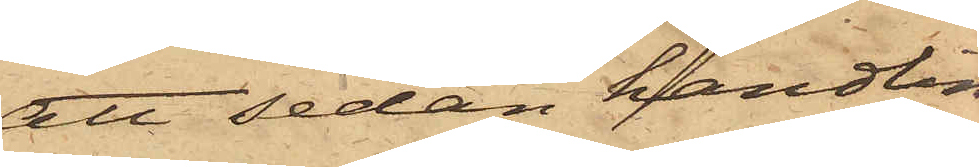att sedan handlin¬
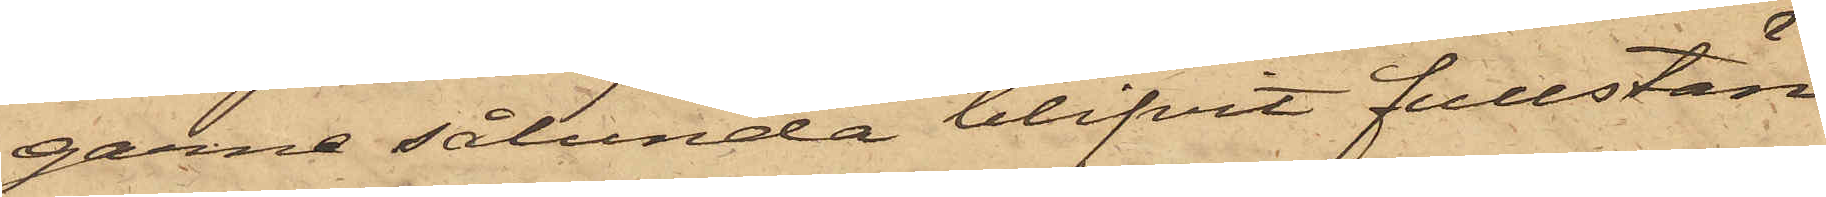garne sålunda blifvit fullstän¬
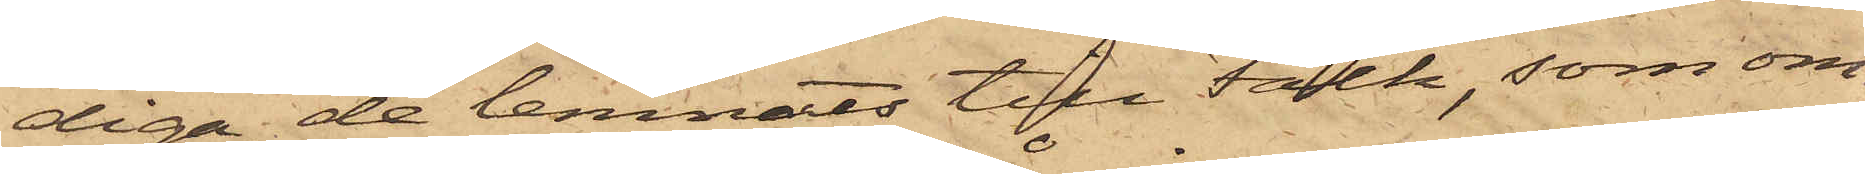diga, de lemnats till Falk, som om¬
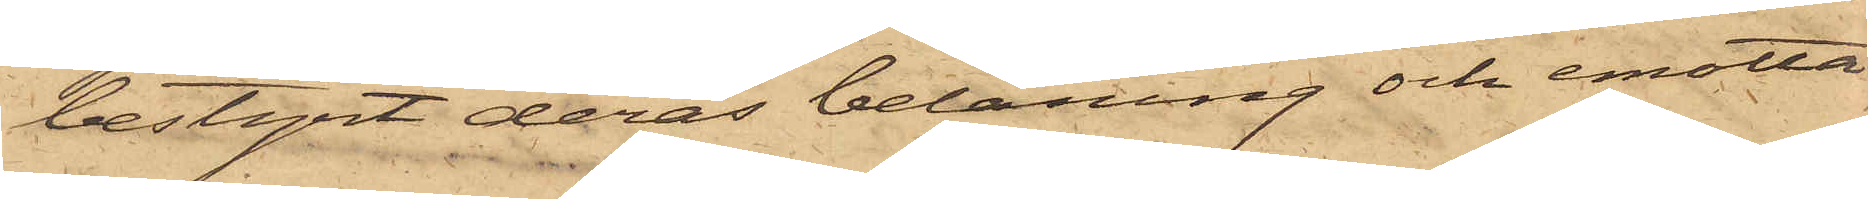bestyrt deras belåning och emotta¬
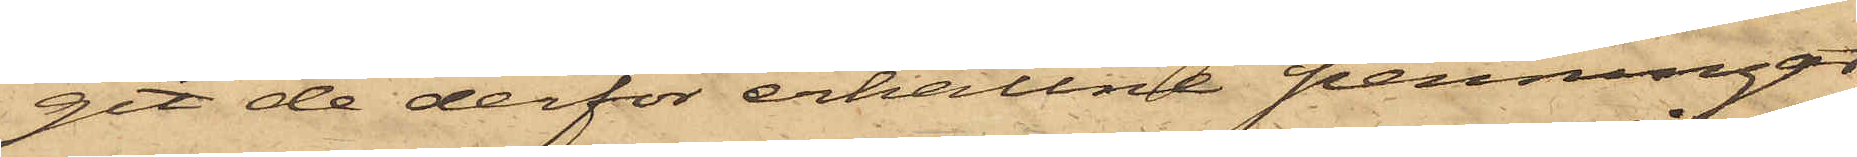get de derför erhållne penningar,
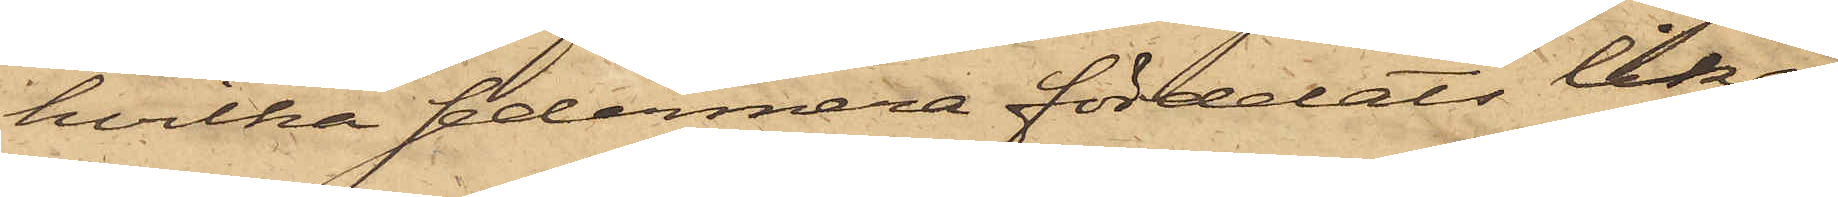hvilka sedermera fördelats lika
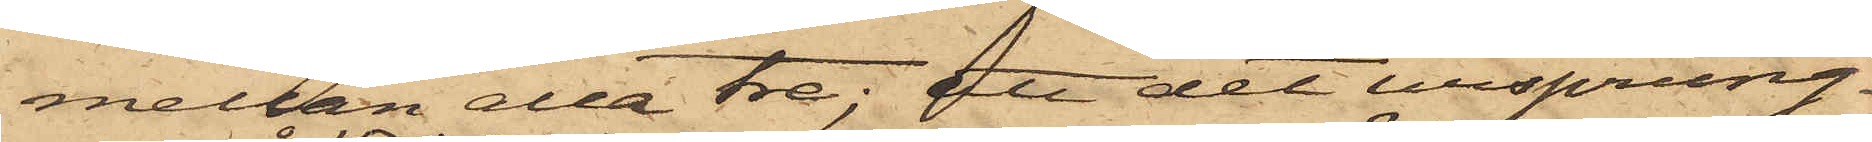mellan alla tre; att det ursprung¬
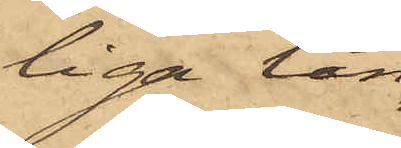liga lån
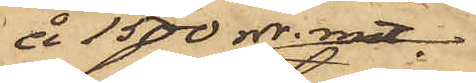å 1500 rdr. rmt,
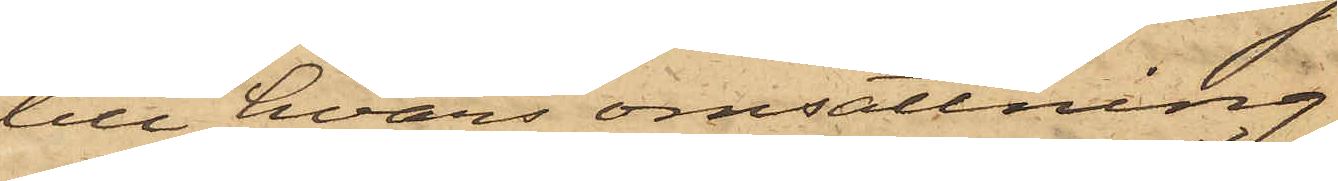till hvars omsättning
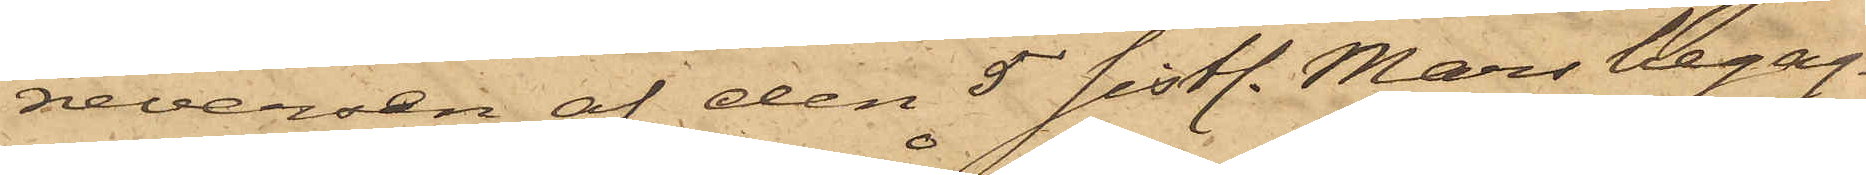reversen af den 5 sistl. Mars begag¬
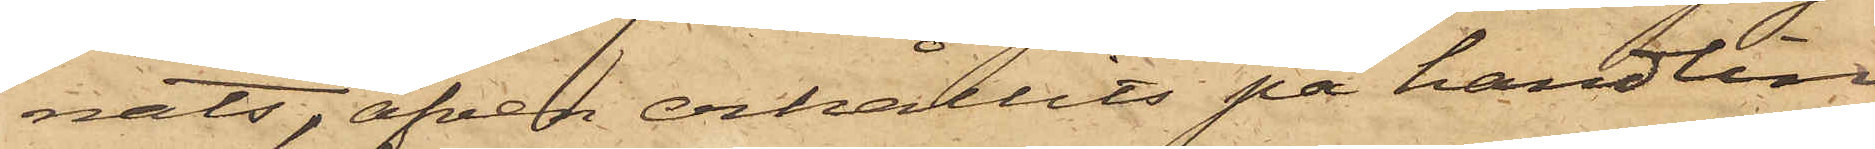nats, äfven erhållits på handlin¬
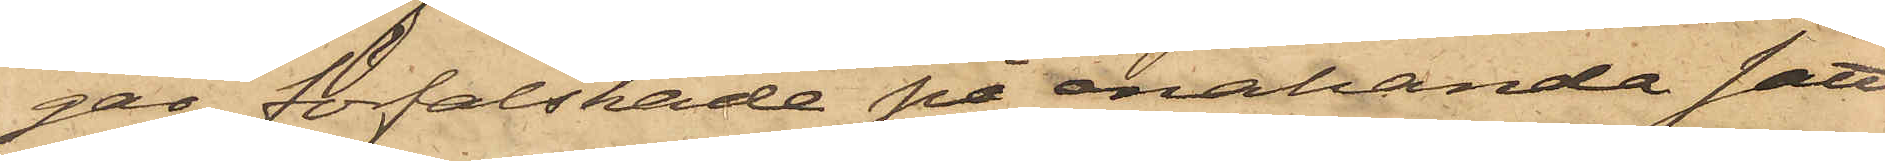gar, förfalskade på enahanda sätt
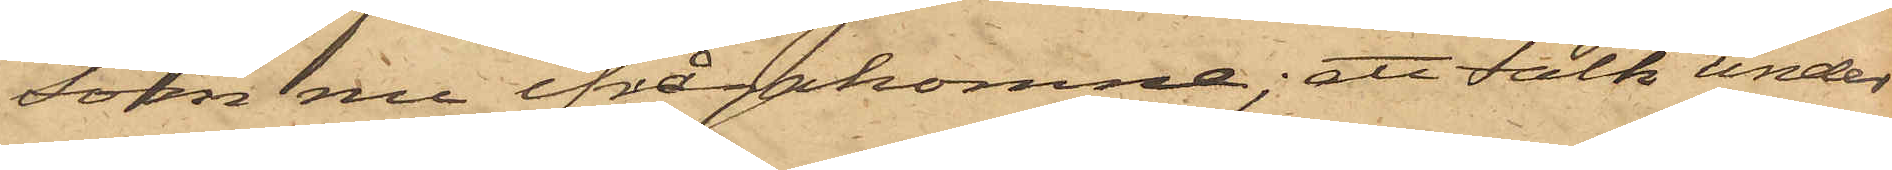som nu ifrågakomne; att Falk under
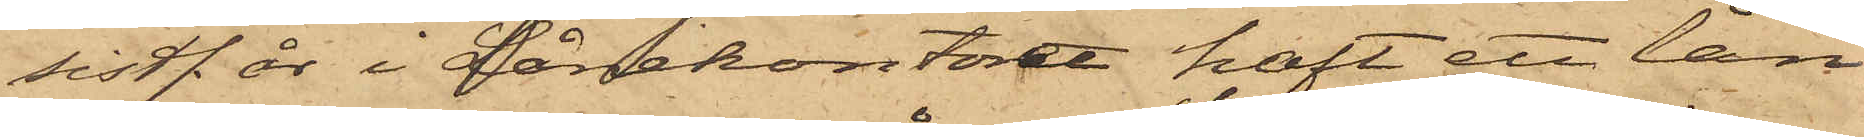sistl. år i Lånekontoret haft ett lån,
